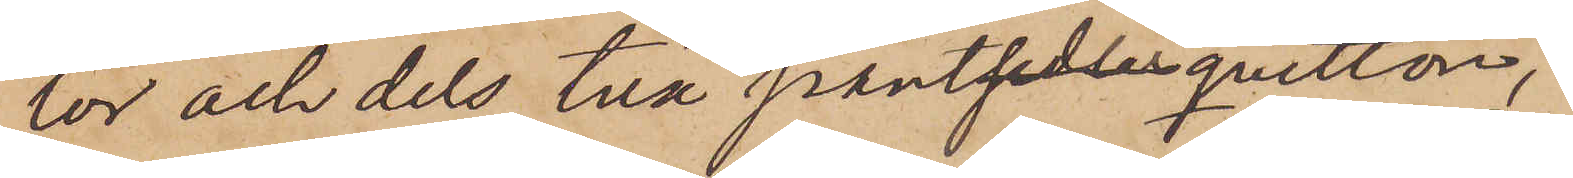ror och dels två pantqvitton,
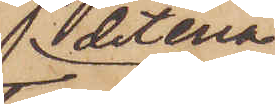det ena 
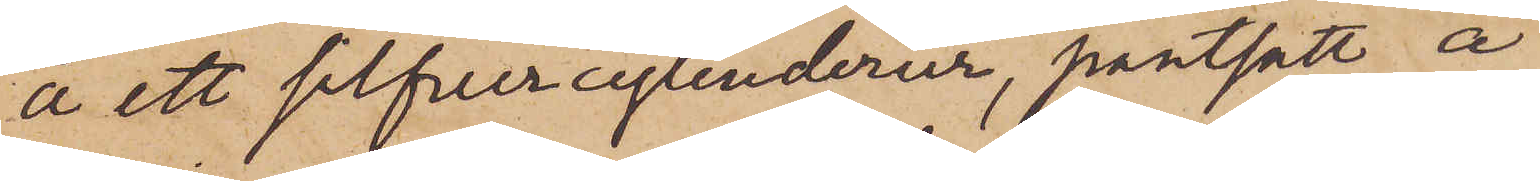å ett silfvercylinderur, pantsatt å
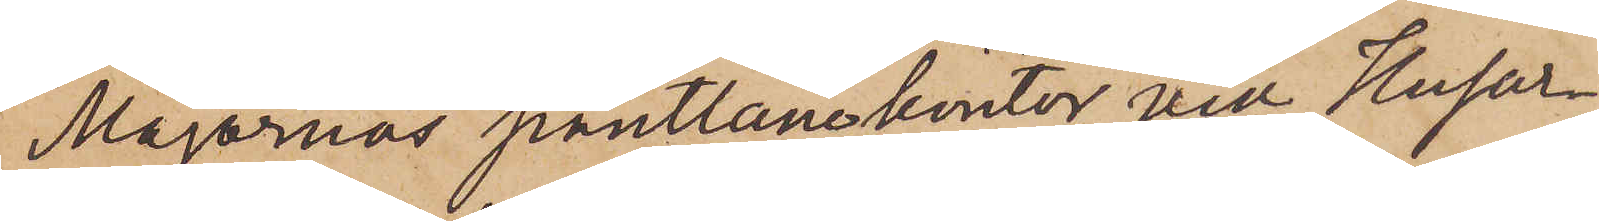Majornas pantlånekontor vid Husar¬
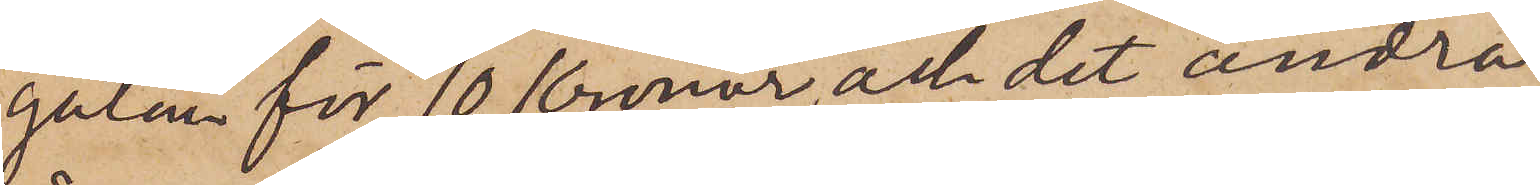gatan för 10 Kronor och det andra
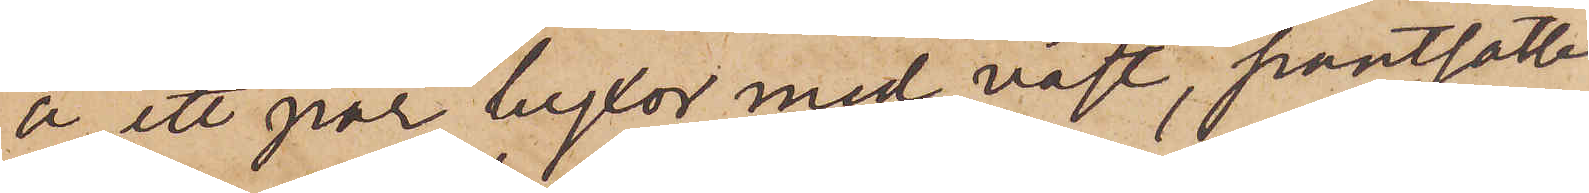å ett par byxor med väst, pantsatte
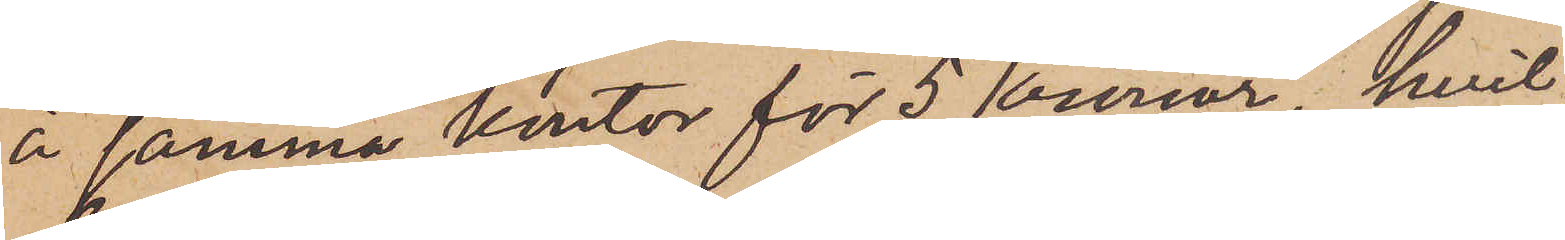å samma kontor för 5 kronor, hvil¬
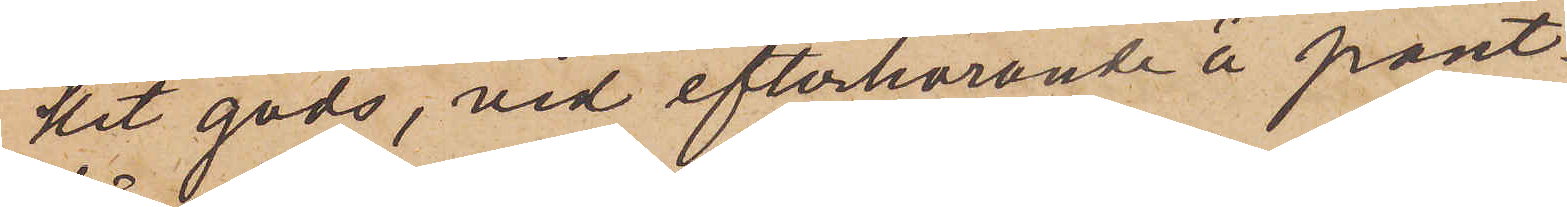ket gods, vid efterhörande å pant¬
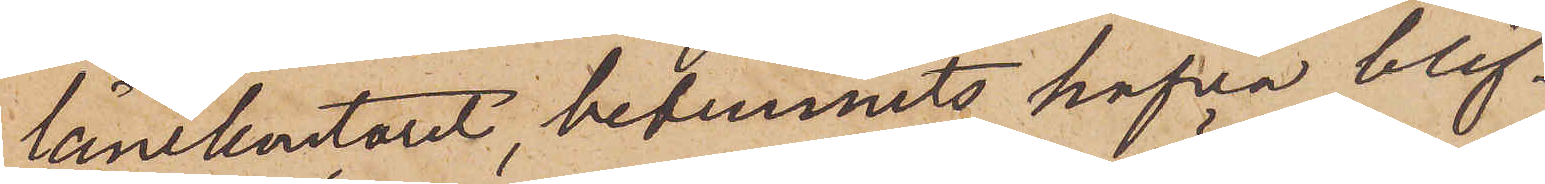lånekontoret, befunnits hafva blif¬
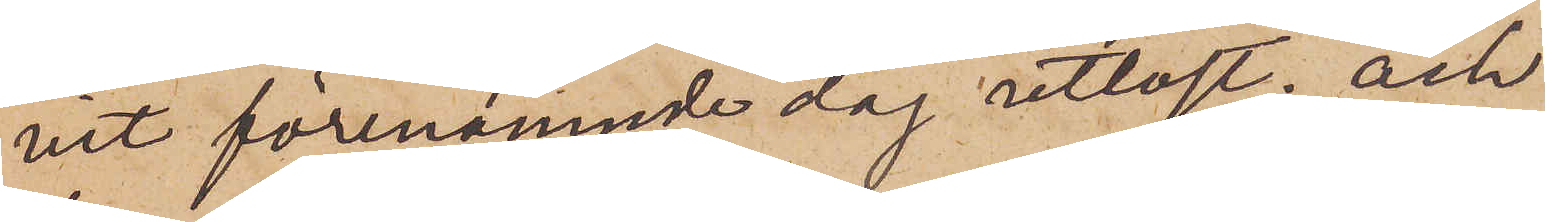vit förenämnde dag utlöst; och
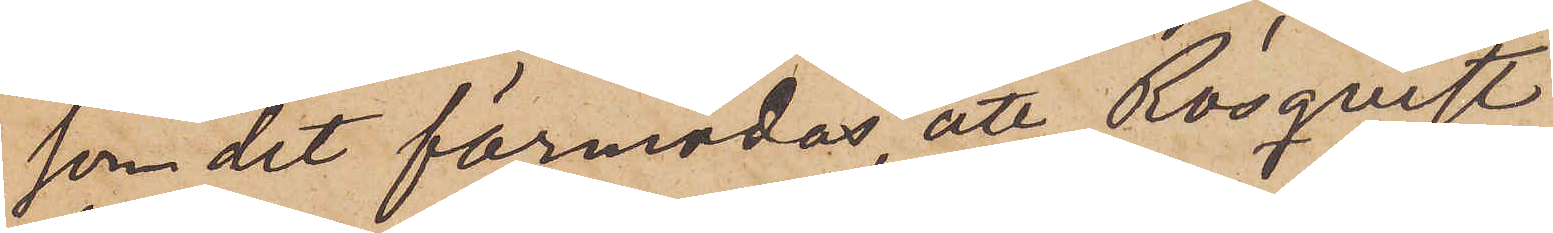som det förmodas att Rosquist
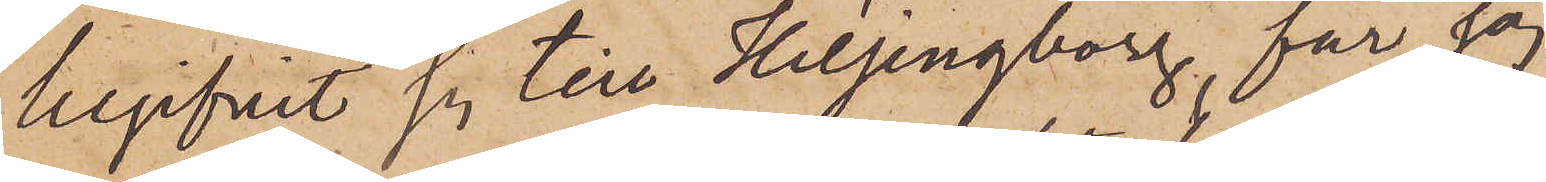begifvit sig till Helsingborg, får jag
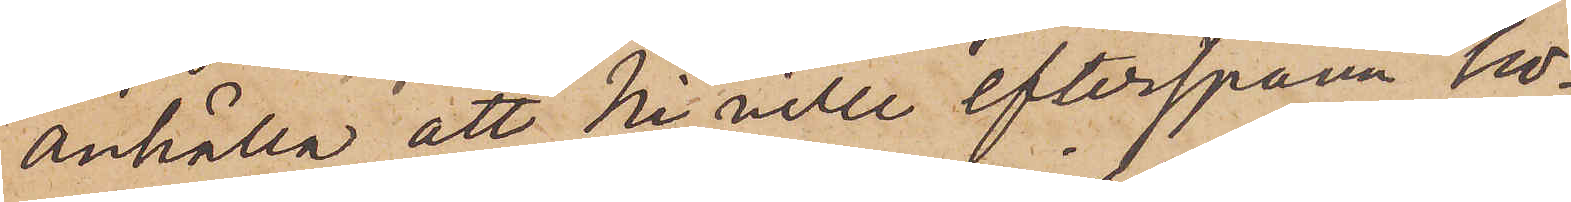anhålla att Ni ville efterspanan ho¬
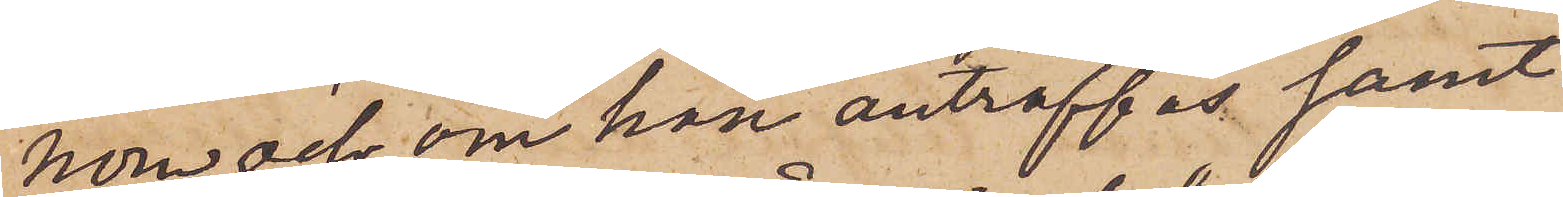nom och, om han anträffas samt
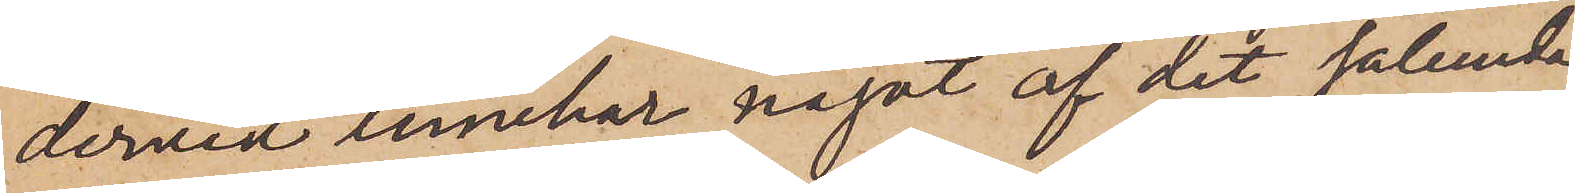dervid innehar något af det sålunda
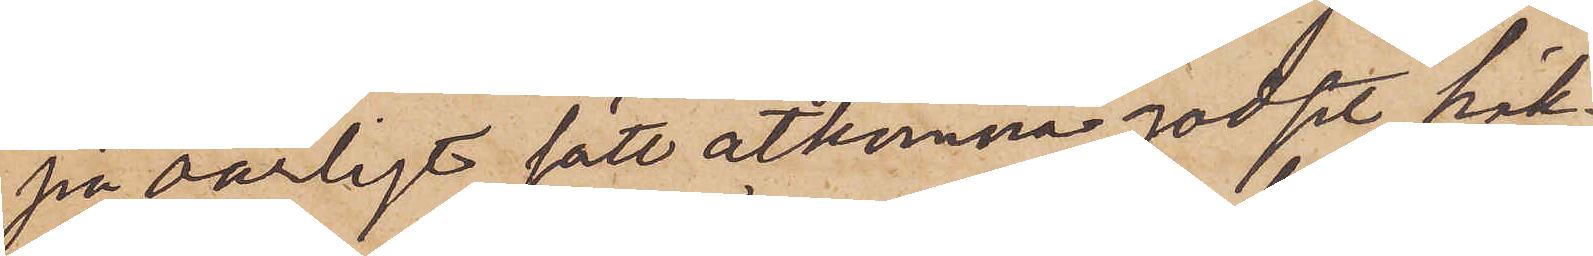på oärligt sätt åtkomna godset, häk¬
